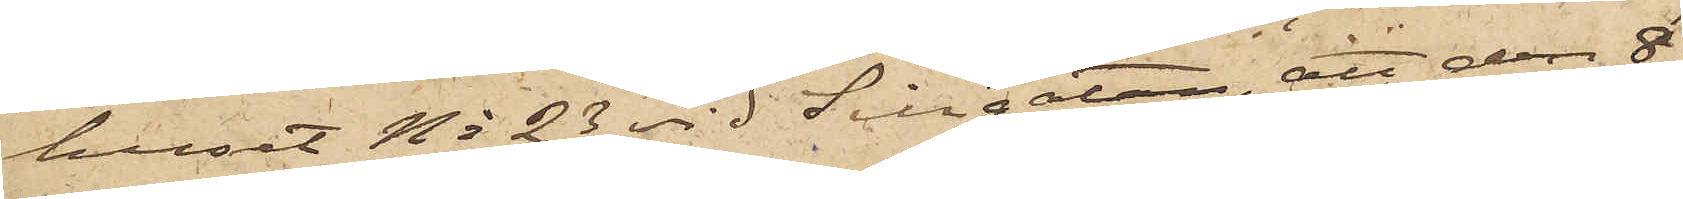huset No 23 vid Sillgatan, att den 8
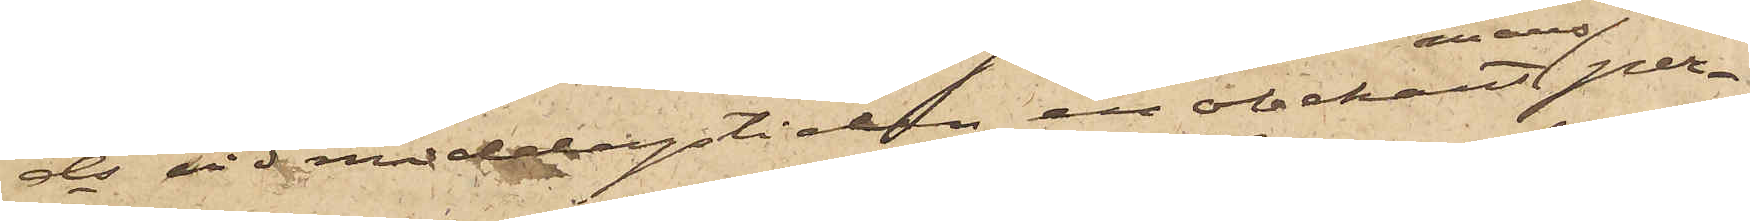ds vid middagstiden en obekant per¬
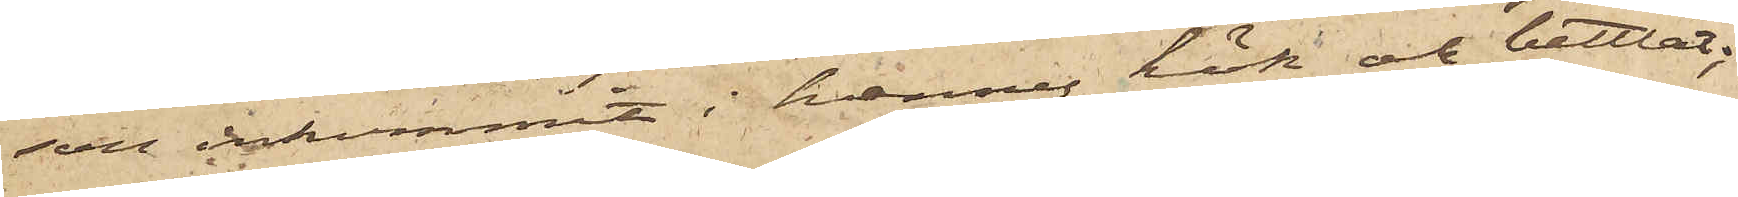son inkommit i hennes kök och bettlat;
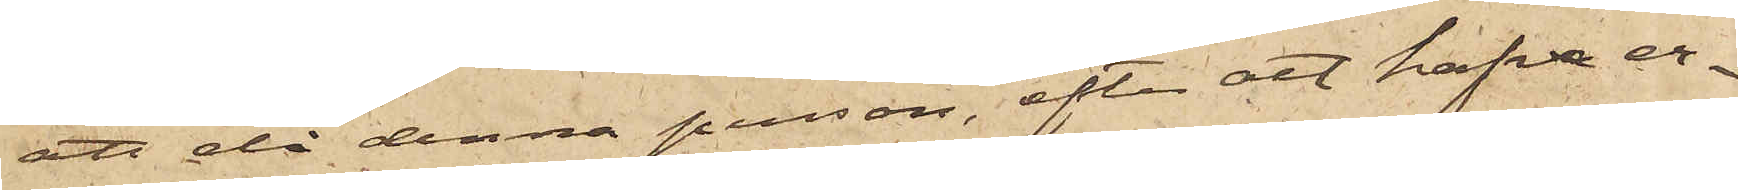att då denna person, efter att hafva er¬
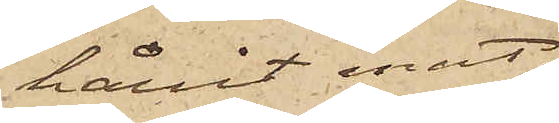hållit mat,
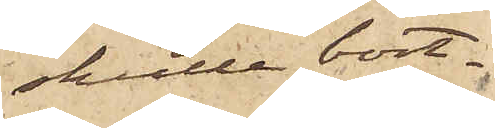skulle bort¬
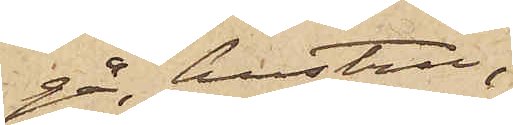gå, hustru
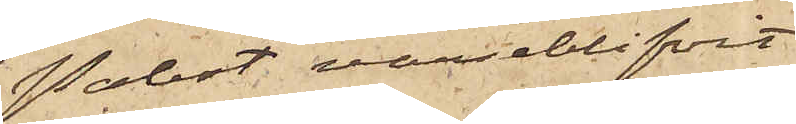Probst varseblifvit
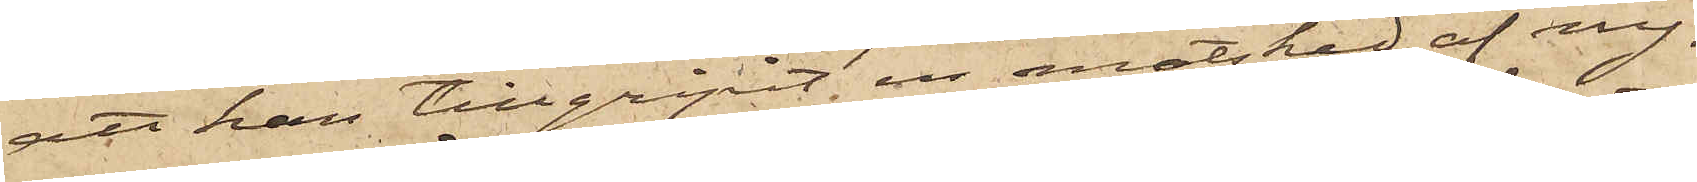att han tillgripit en matsked af ny¬
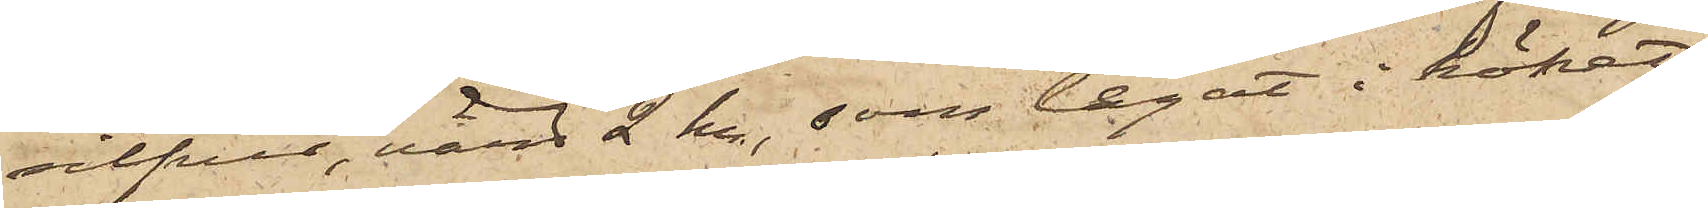silfver, värd 2 kr, som legat i köket;
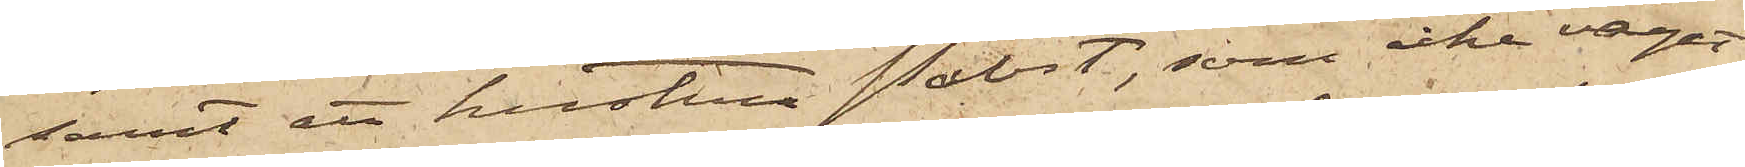samt att hustru Probst, som icke vågat
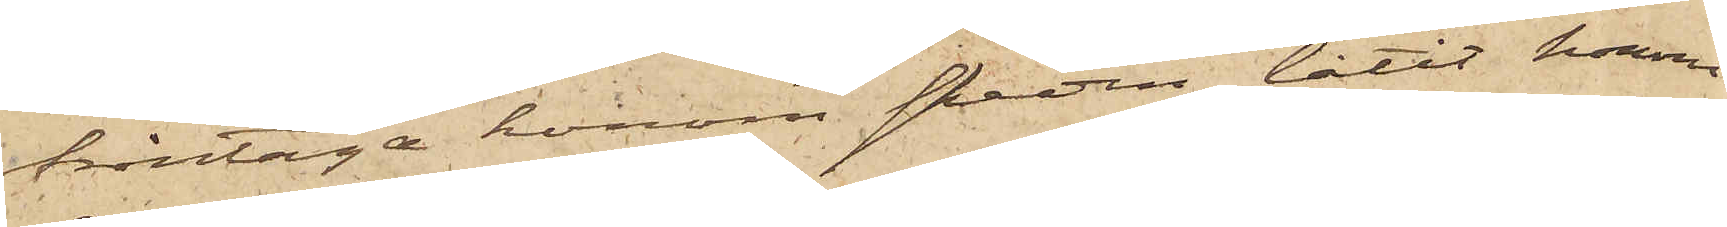fråntaga honom skeden, låtit honom
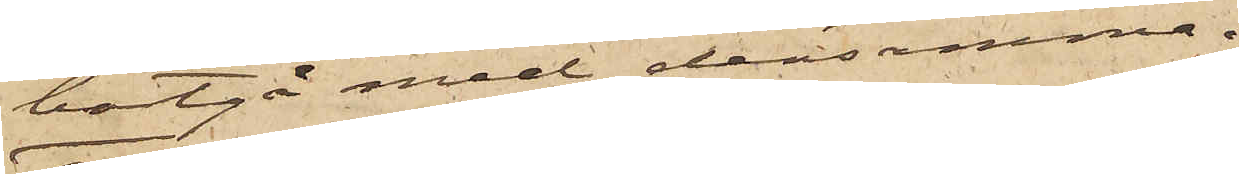bortgå med densamma.
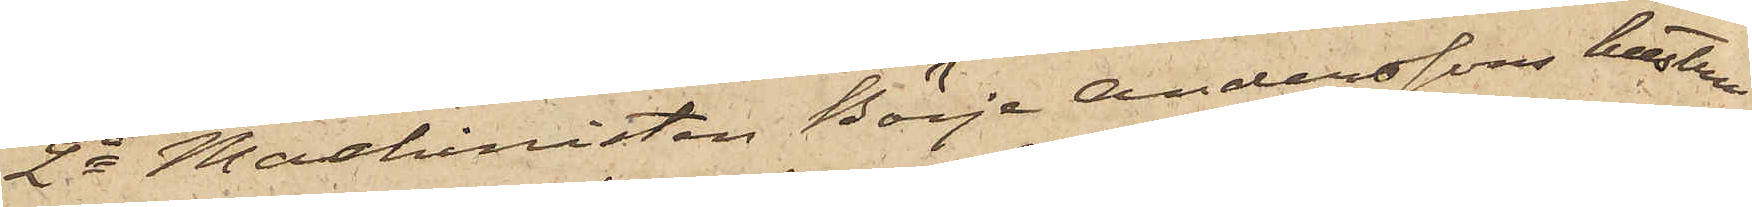2o Maskinisten Börje Anderssons hustru
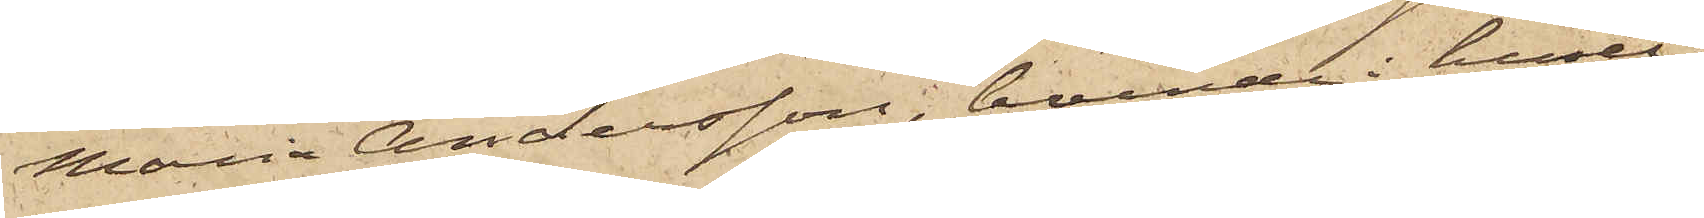Maria Andersson, boende i huset
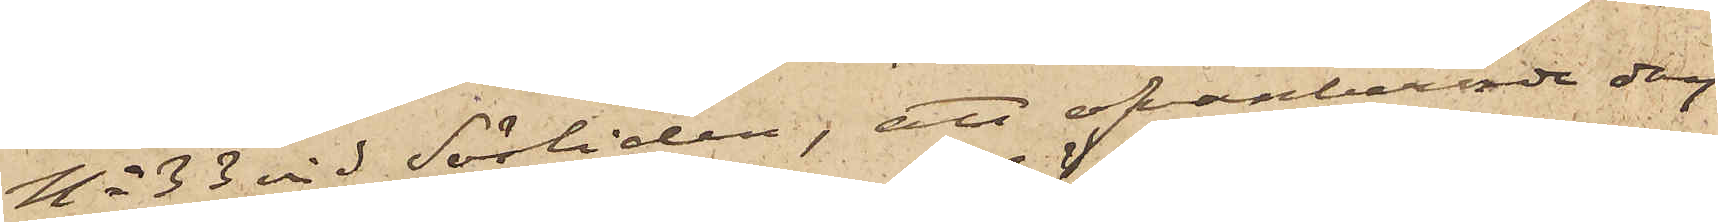No 33 vid Sörliden, att ofvanberörde dag
